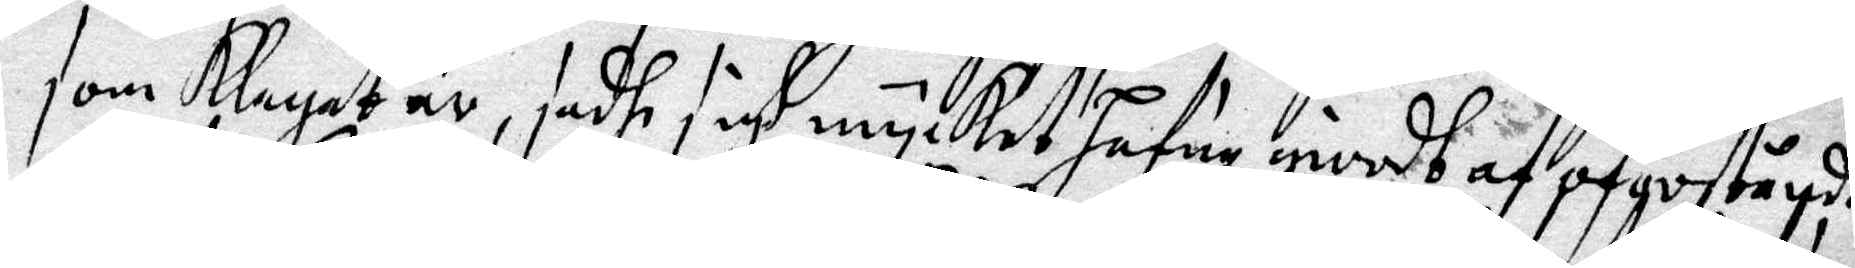som Klagat är, sadhe sigh mycket Hafua giordt af oforståndh
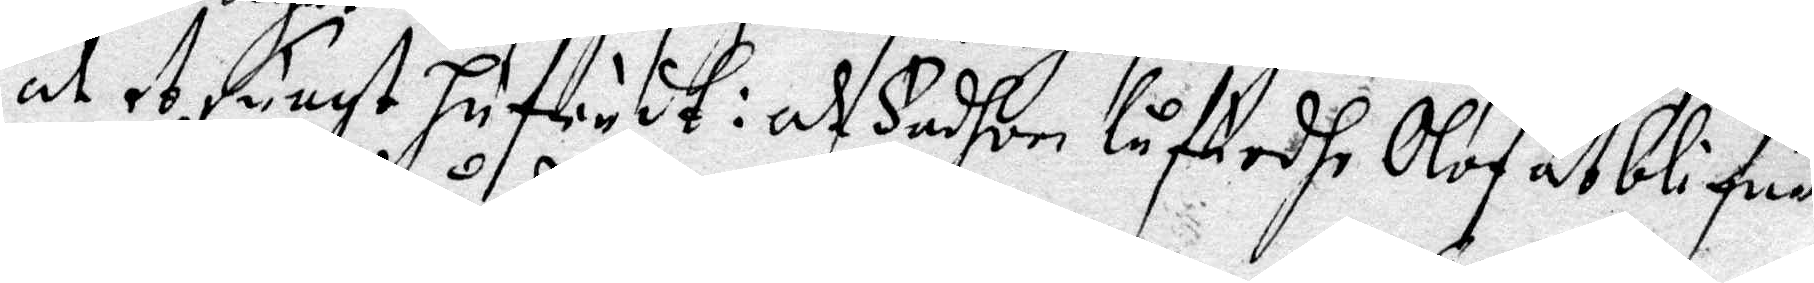at et Suagt hufudt: at Fader låfuadhe Olof at blifua
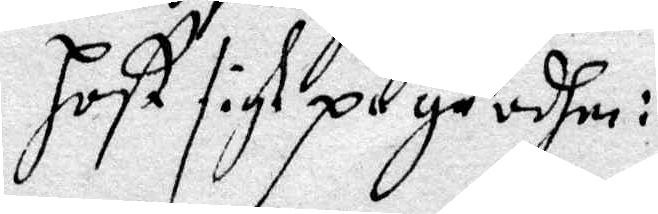Hoskulle få skam, men intet ondt giorhe Hon henne; och Olofz sigh på gårdhen:
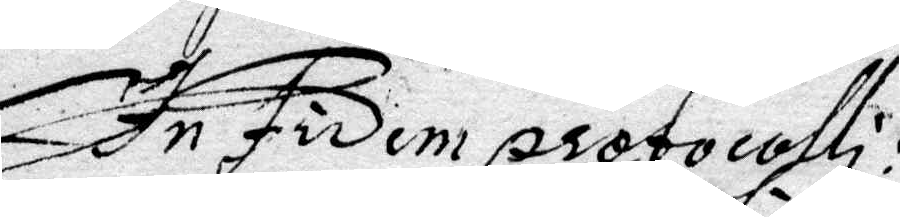In Fidem protocolli:
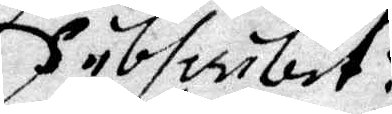subsiribit:
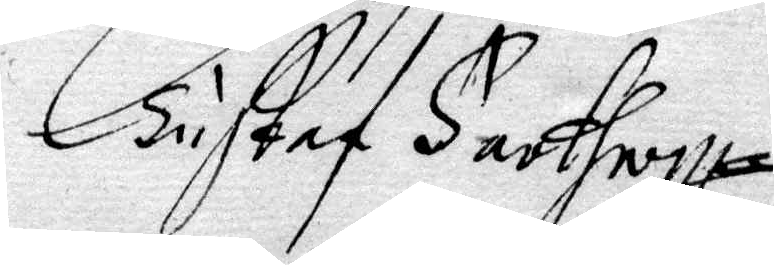Gustaf Farthoff
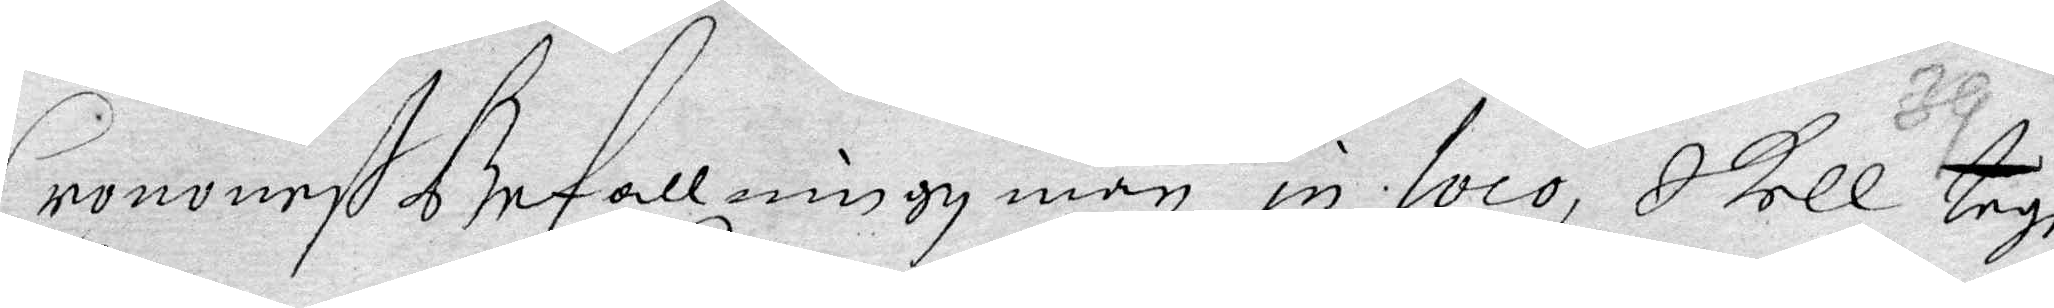Crononeß befallningz man in loco, Skall taga
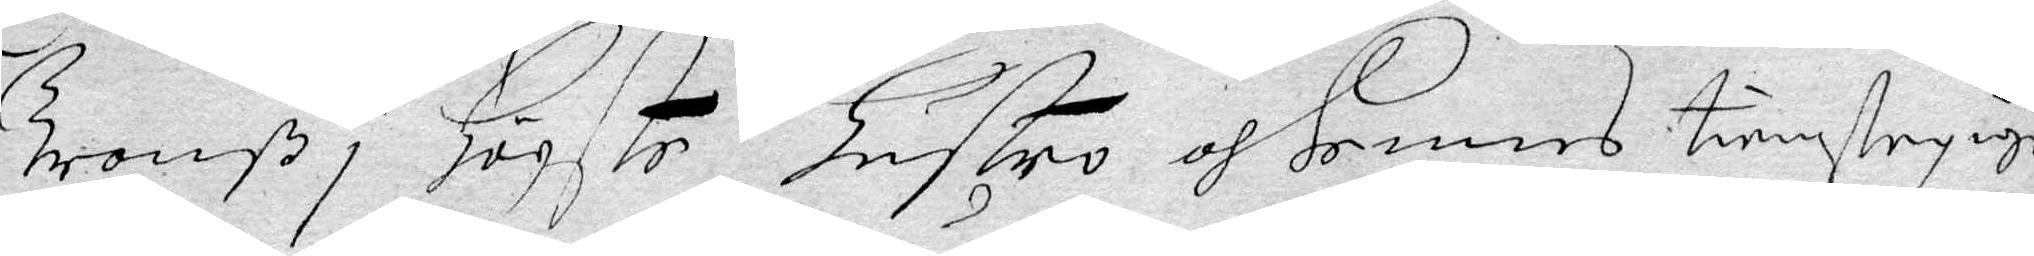Tronß i Högste Hustro af hennes tienstepiga
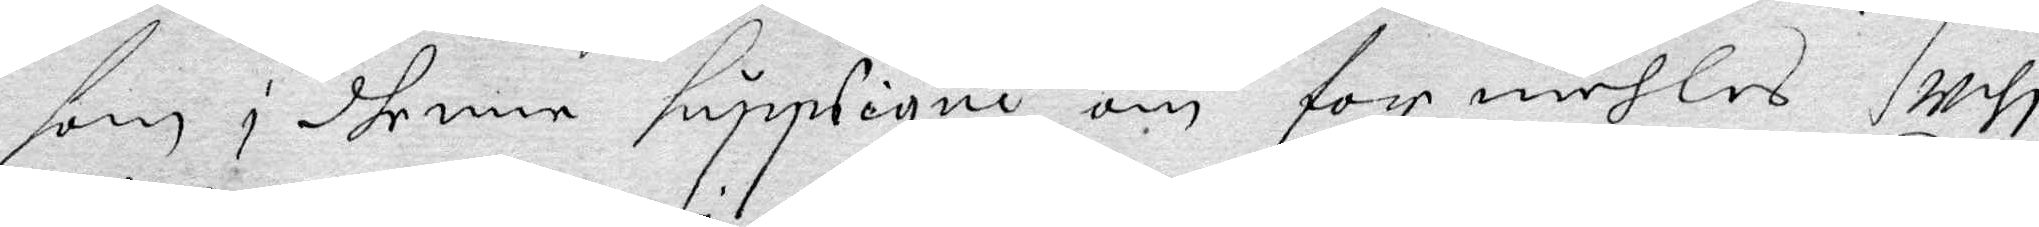som i dhenne Supplique om for mehles Utji
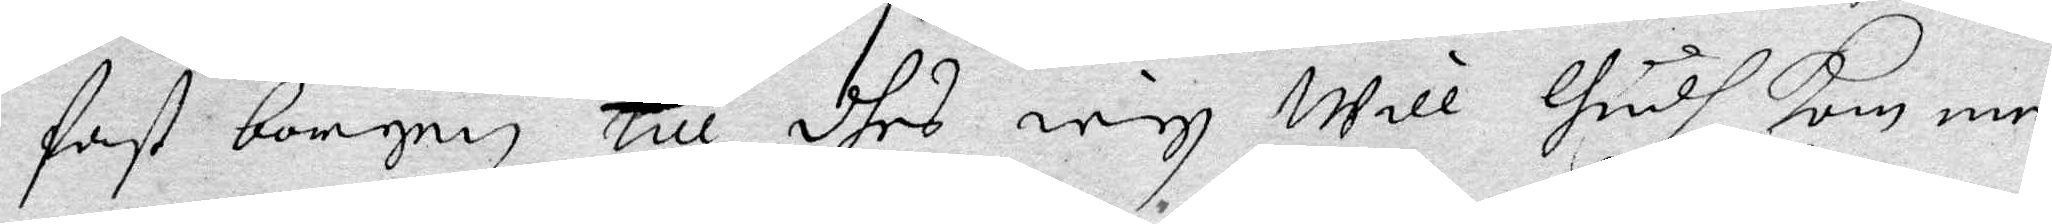fast borgen till dhes iegh will Gudh kommer
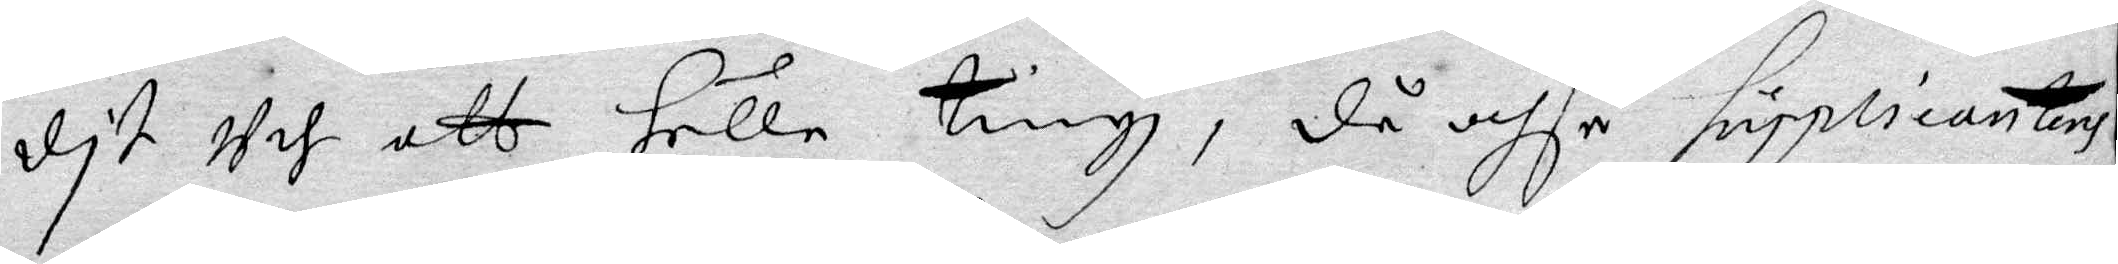dit Uth att Hålle tingh, då ochså supplicanten
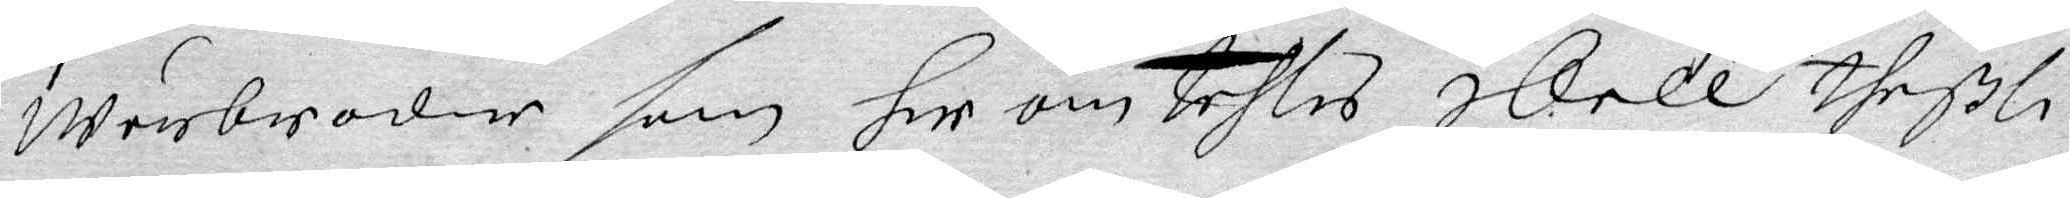wärbroder som her om tahlas skall theßli¬
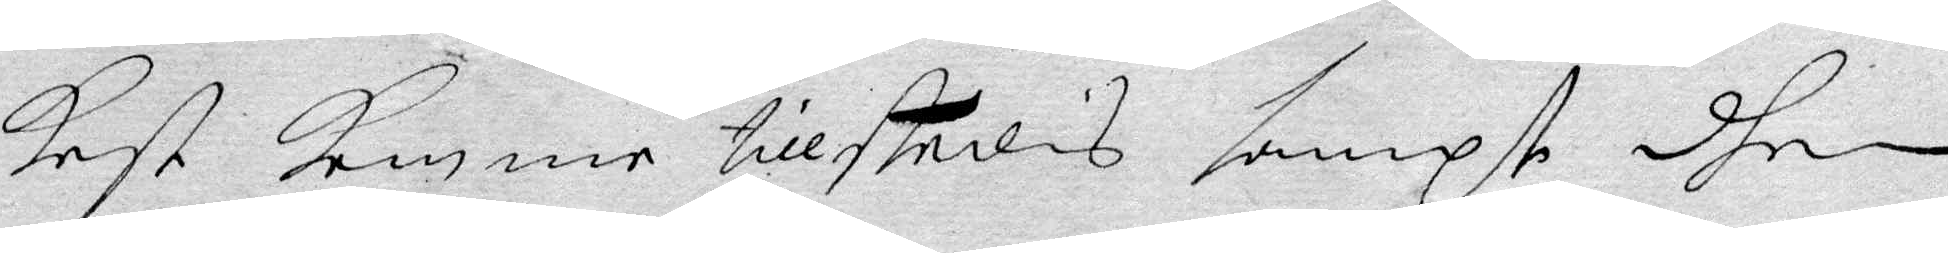kest komma tillstedes sampt dhen
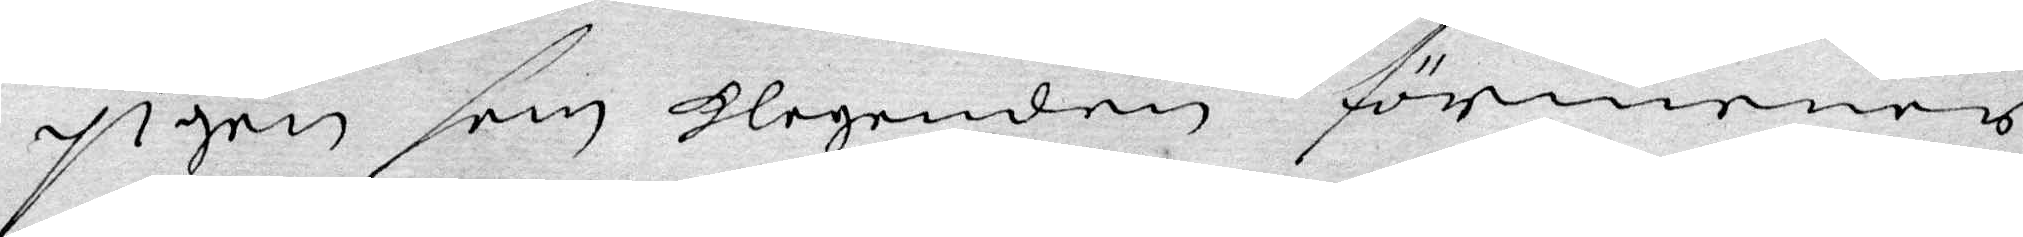pigan som klaganden förmenar
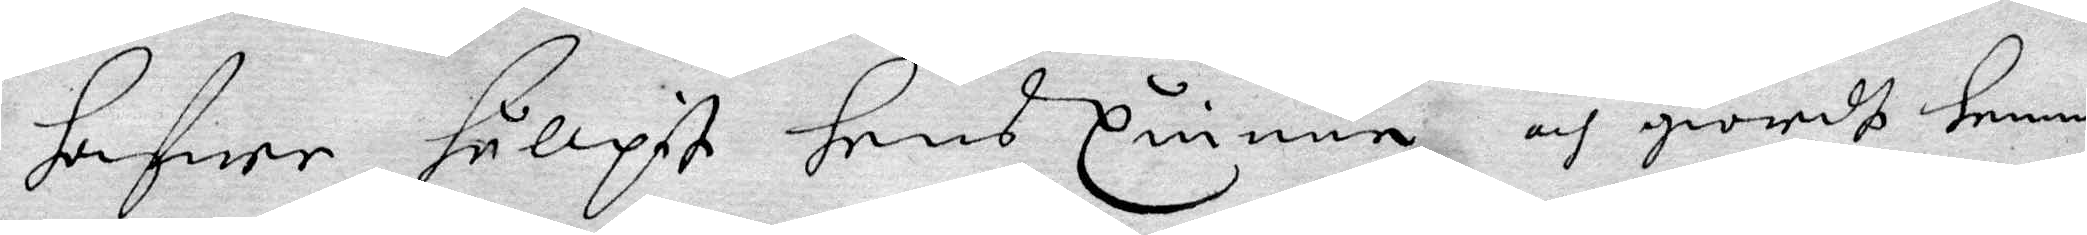hafwa hulpit hans quinna och giordt henne
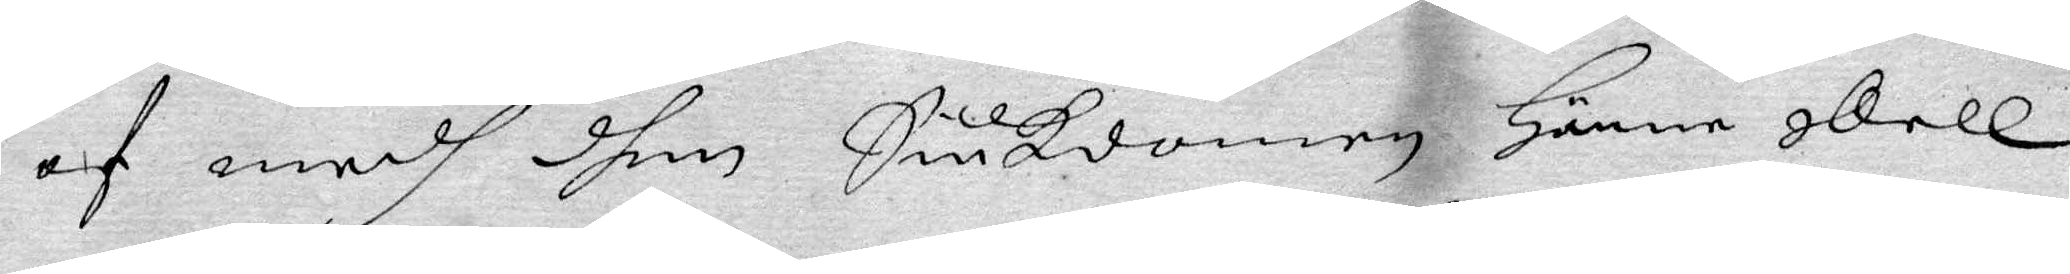af medh dhen Siukdomen Hänne skall
